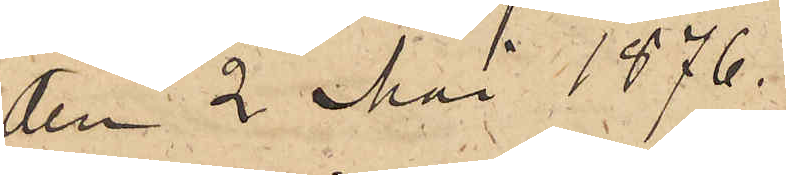den 2 Mai 1876.
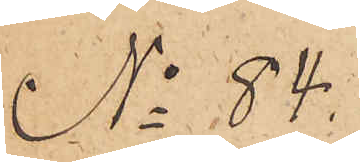No 84.
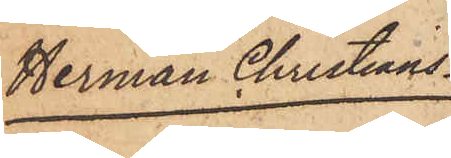Herman Christians¬
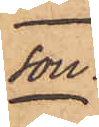son.
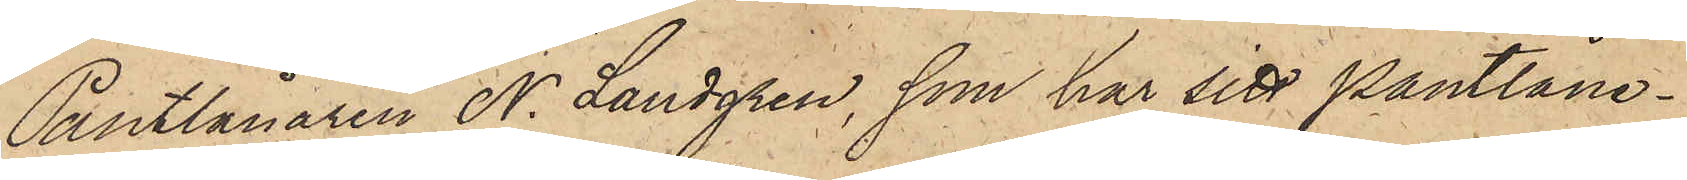Pantlånaren N. Landgren, som har sitt pantlåne¬
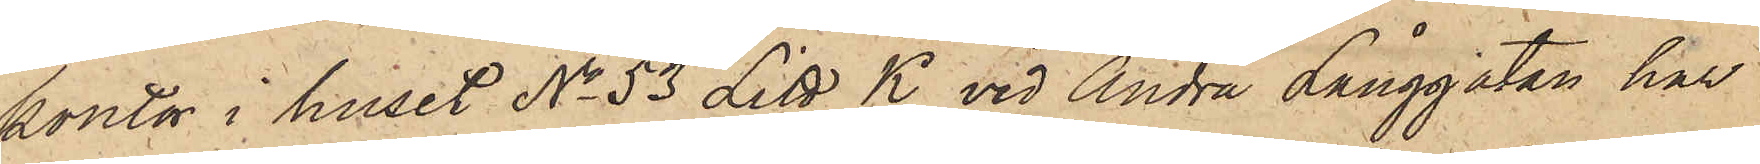kontor i huset No 53 Litt K vid Andra Långgatan har
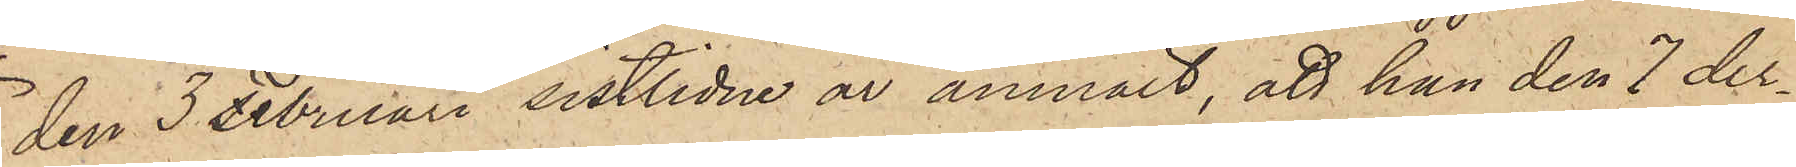den 3 Februari sistlidne år anmält, att han den 7 der¬
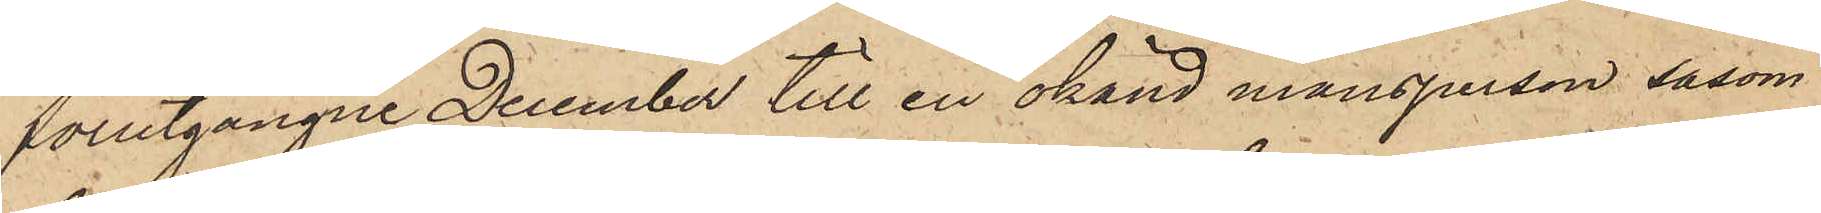förutgångne December till en okänd mansperson såsom
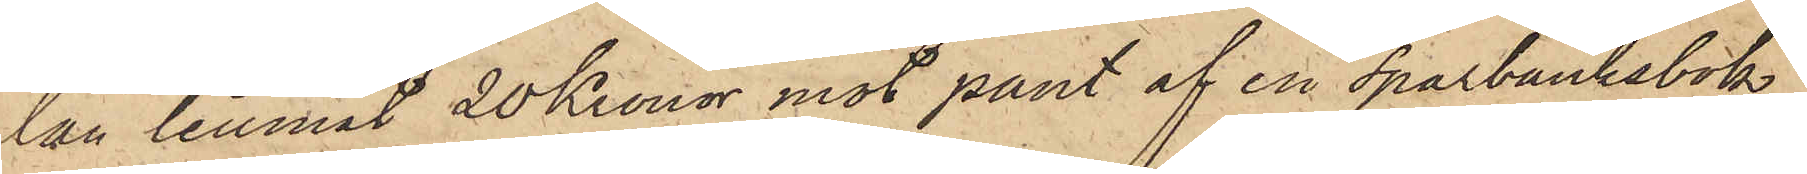lån lemnat 20 Kronor mot pant af en sparbanksbok,
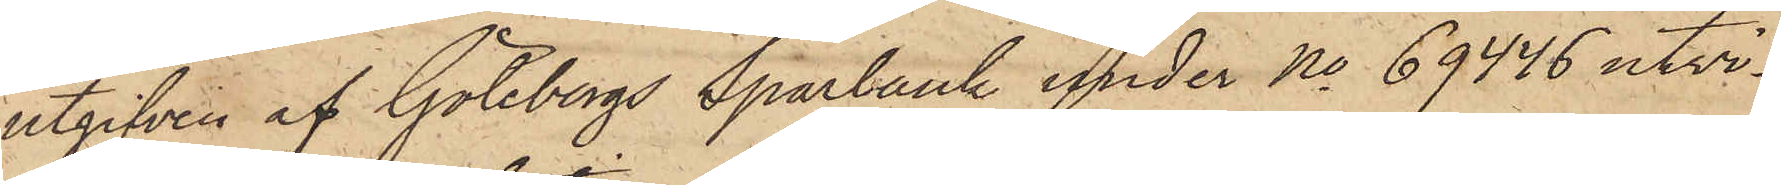utgifven af Göteborgs Sparbank under No 69446 utvi¬
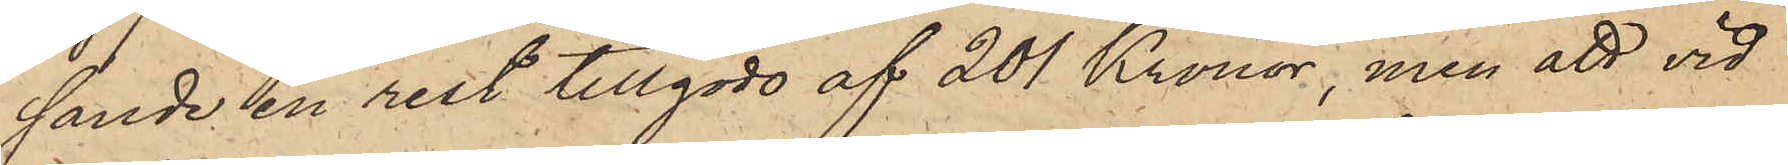sande en rest tillgodo af 201 Kronor, men att vid
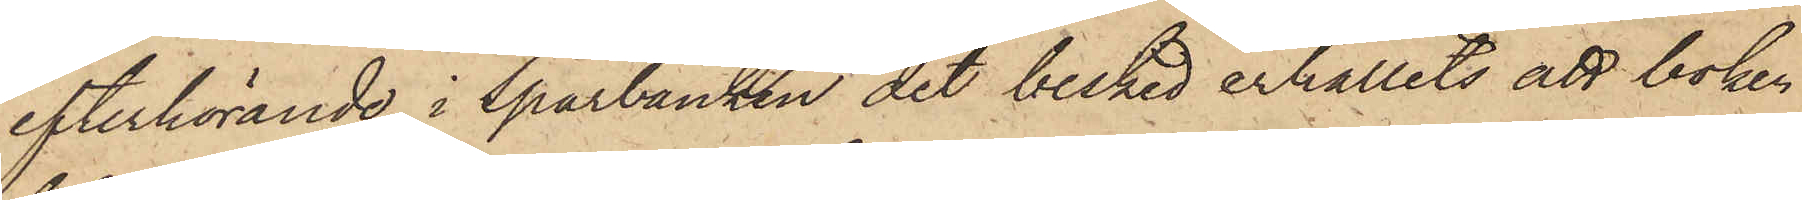efterhörande i Sparbanken det besked erhållits att boken
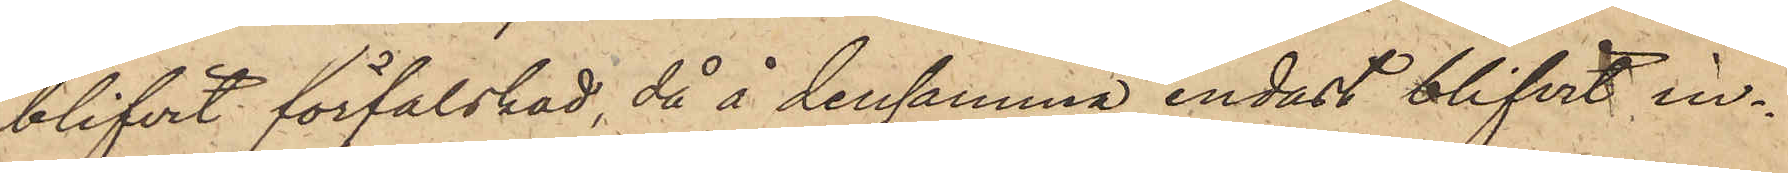blifvit förfalskad, då å densamma endast blifvit in¬
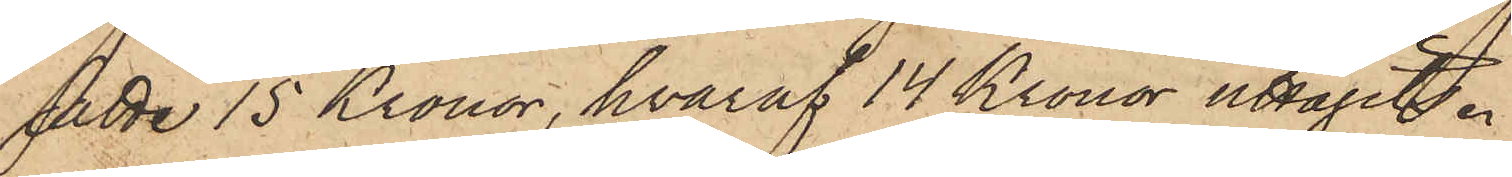satte 15 Kronor, hvaraf 14 Kronor uttagits.
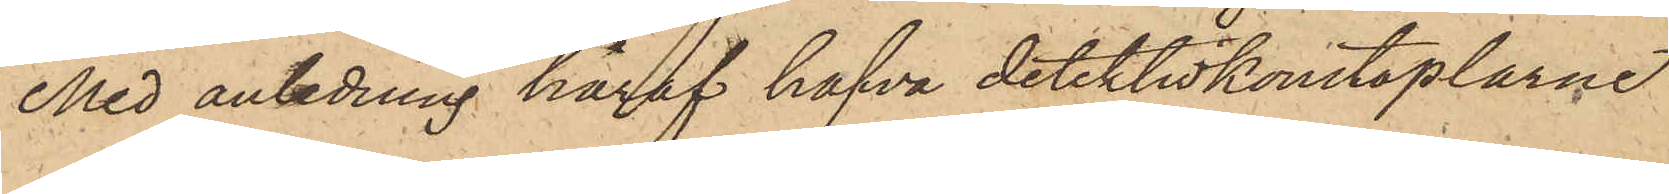Med anledning häraf hafva detektivkonstaplarne
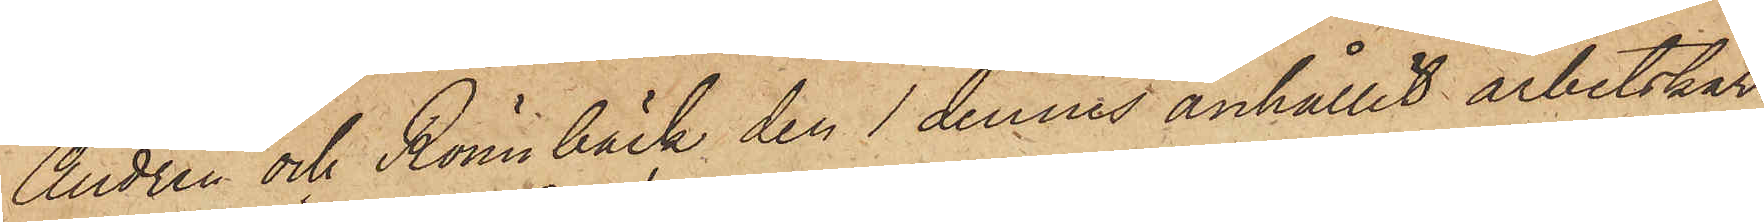Andrén och Rönnbäck den 1 dennes anhållit arbetskar¬
